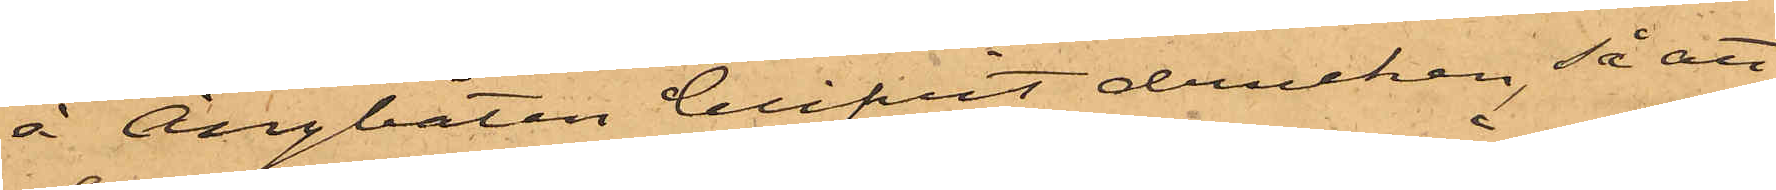å Ångbåten blifvit drucken, så att
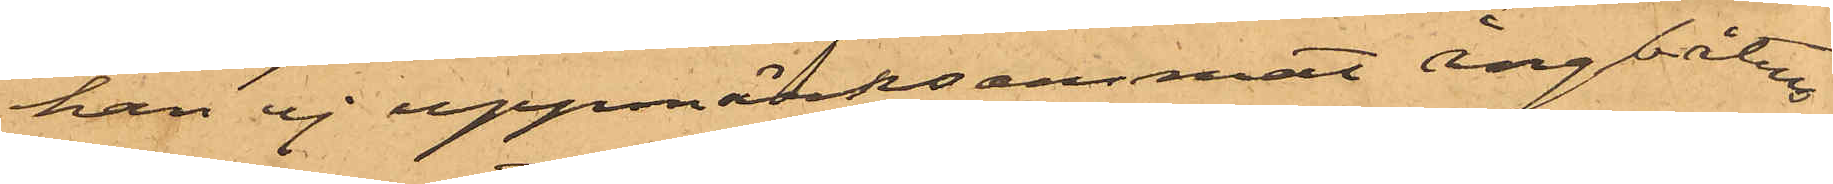han ej uppmärksammat Ångbåtens
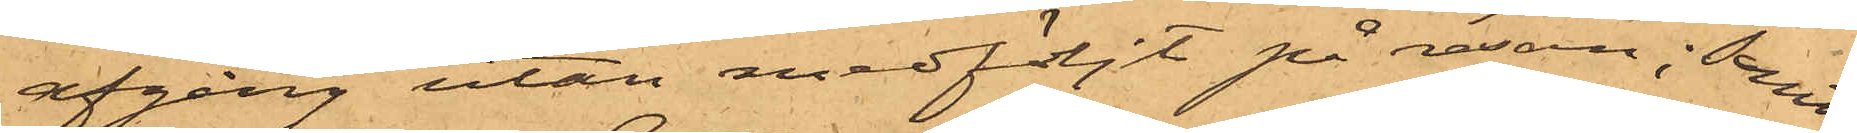afgång utan medföljt på resan; samt
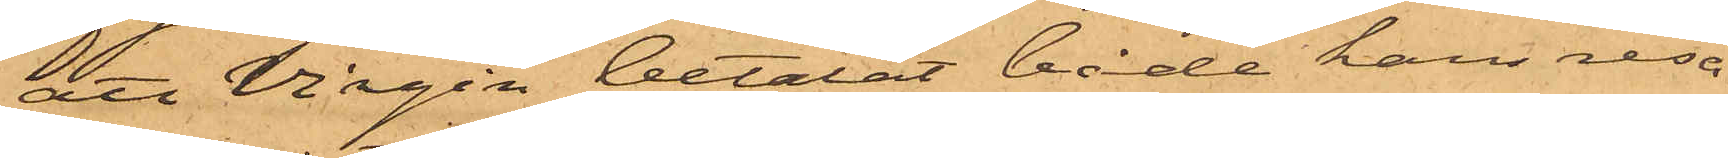att Virgin betalat både hans resa
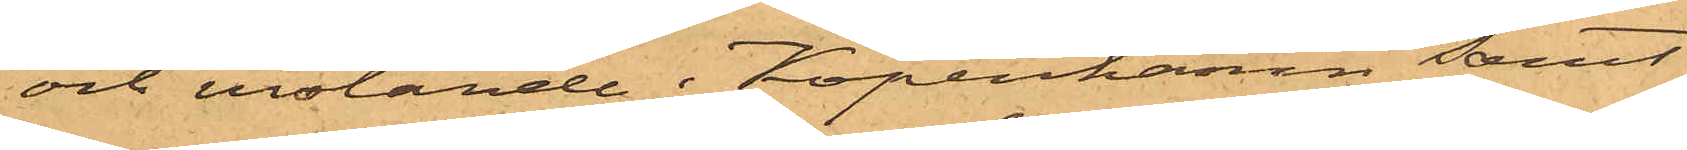och vistande i Köpenhamn samt
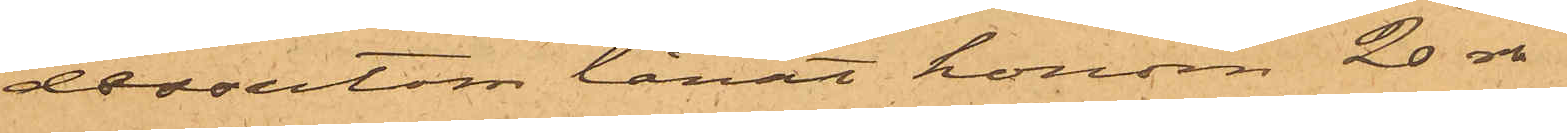dessutom lånat honom 20 rdr
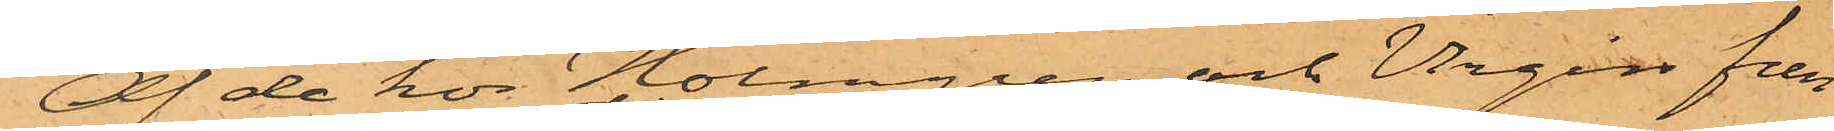Af de hos Holmgren och Virgin fun¬
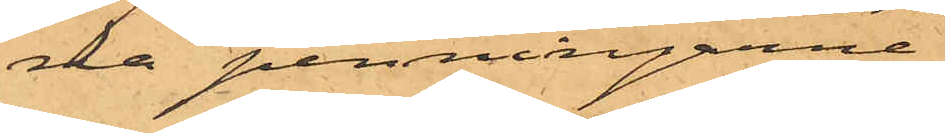na penningarne
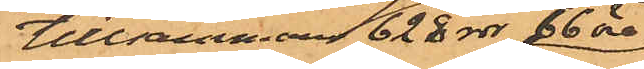tillsammans 628 rdr 66 öre
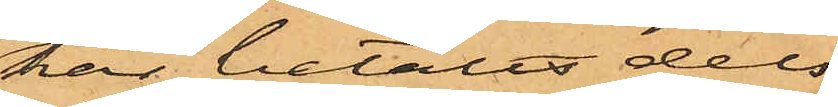har betalts dels
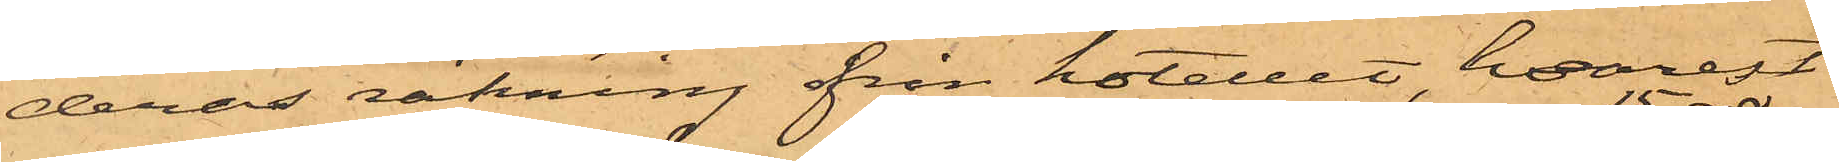deras räkning från hotellet, hvarest
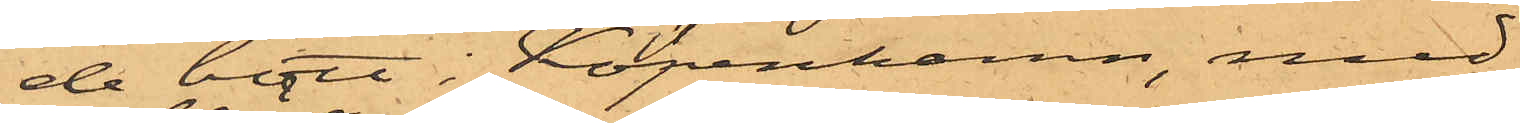de bott i Köpenhamn, med
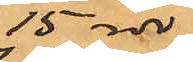15 rdr
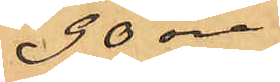90 öre
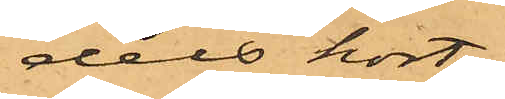dels kost¬
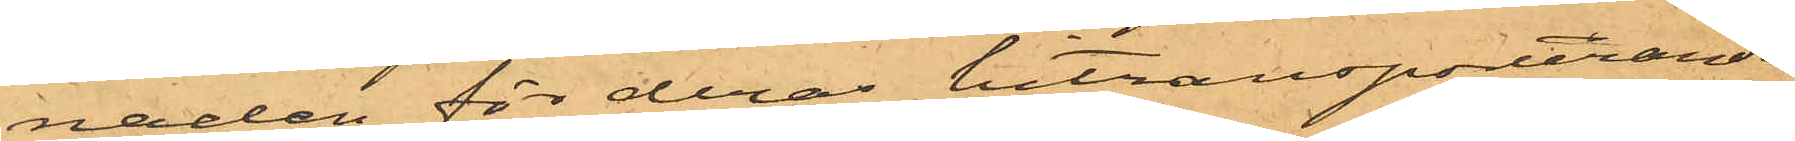naden för deras hitransporterande
